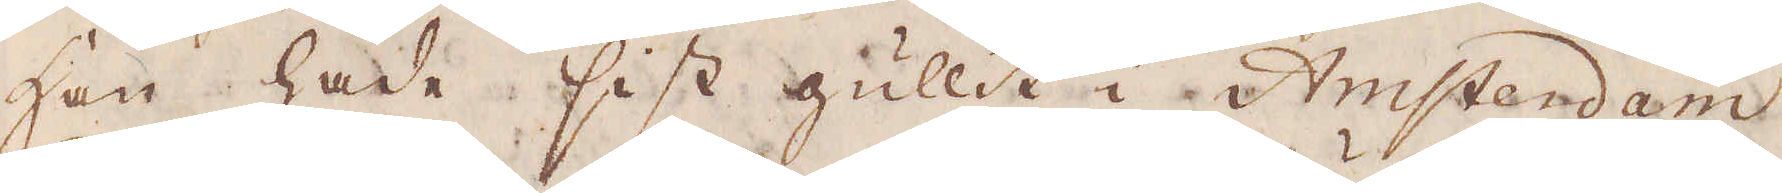Han hade sist gullit i Amsterdam
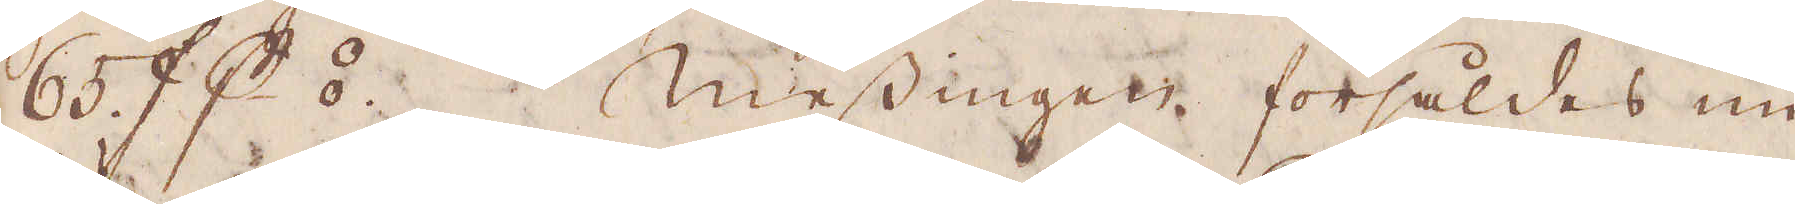65 ƒ p⦂ Messingen försåldes nu
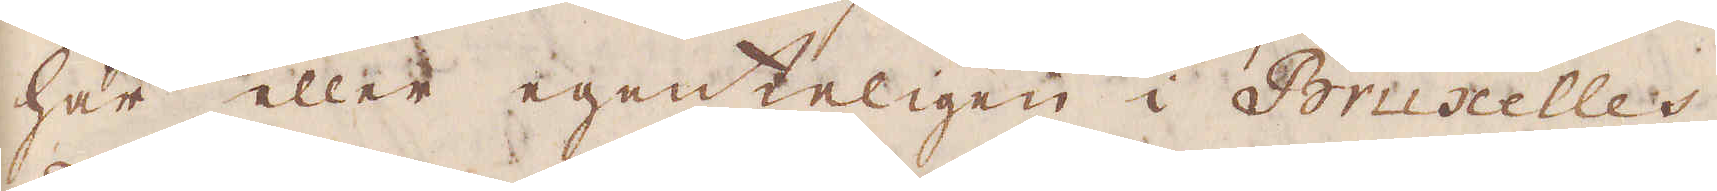här eller egenteligen i Bruscelles,
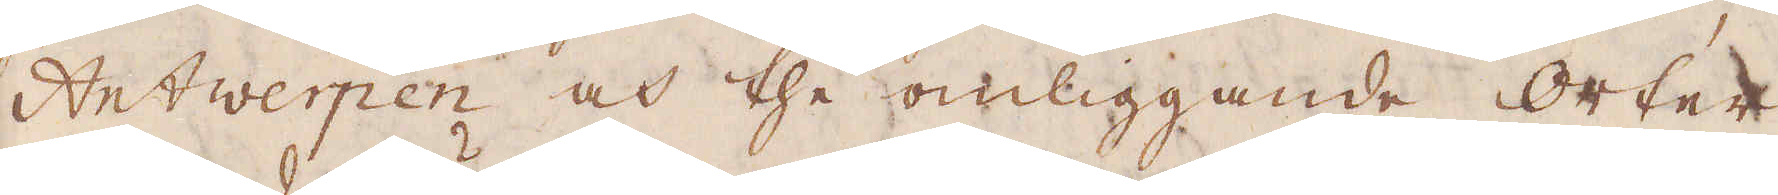Antwerpen och the omliggande orter
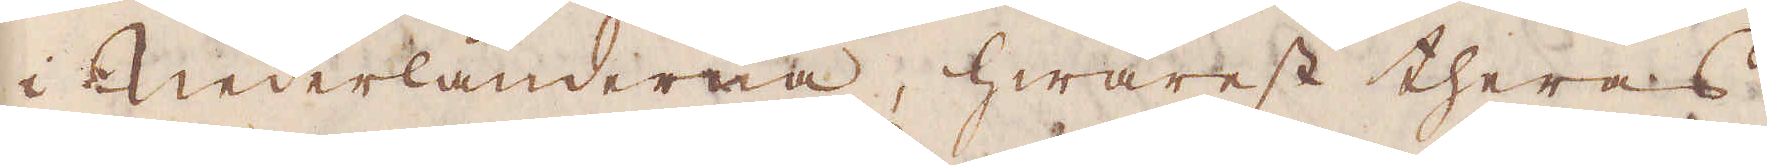i Nederländerna, hwarest theras
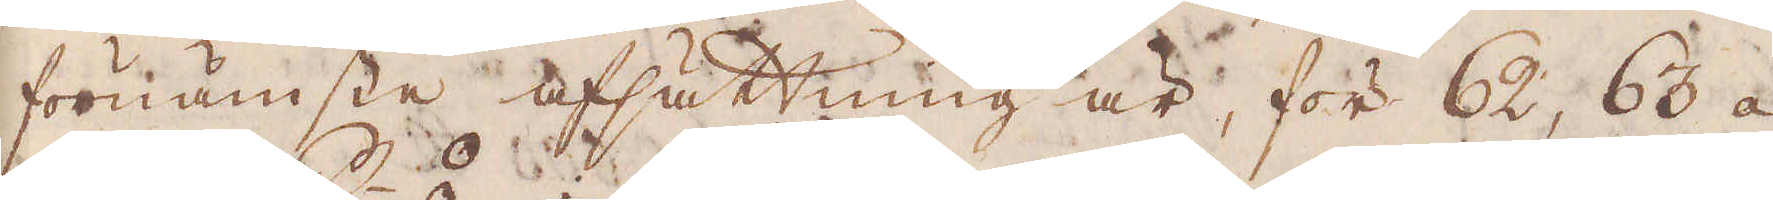förnämste afsättning är, för 62, 63 á
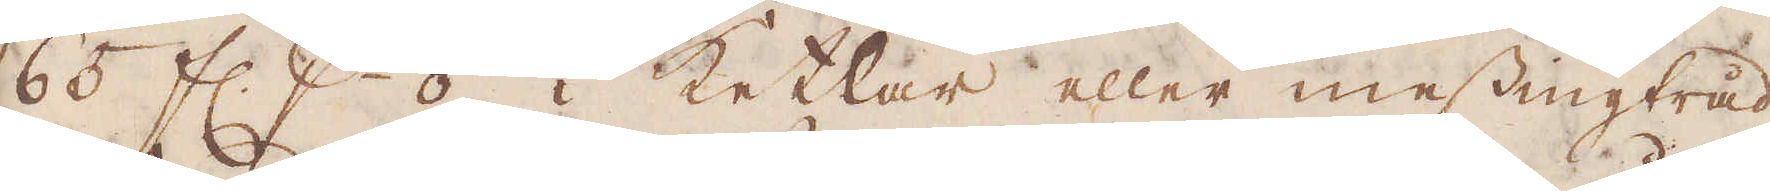65 fl. p⦂, i ketlar eller messingtråd.
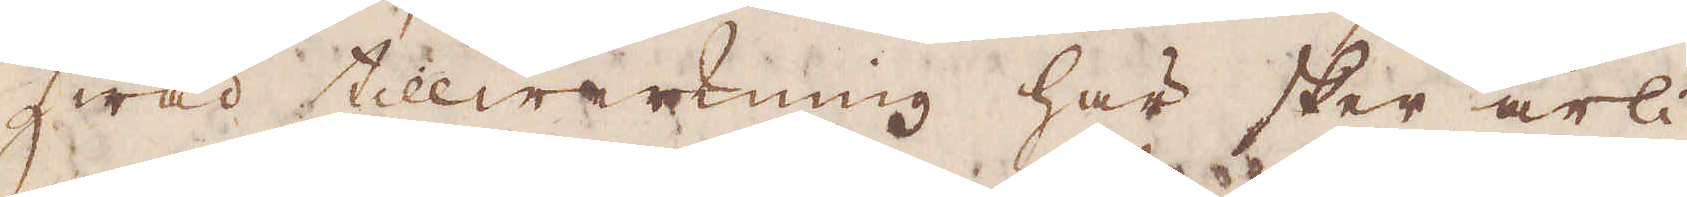Hwad tillwerkning här sker årli-
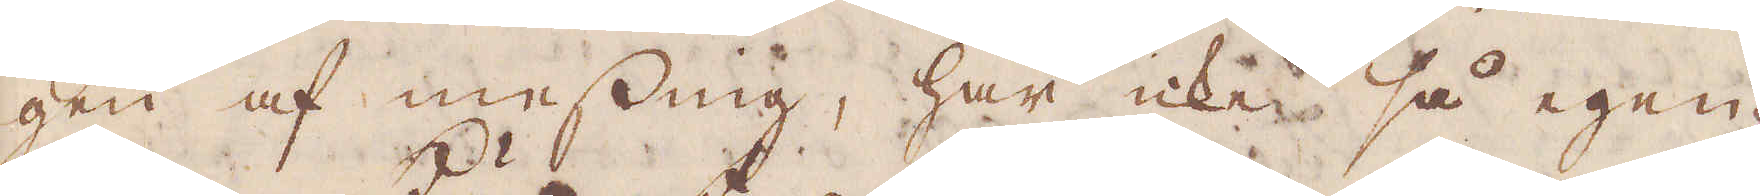gen af messing, har icke så egen-
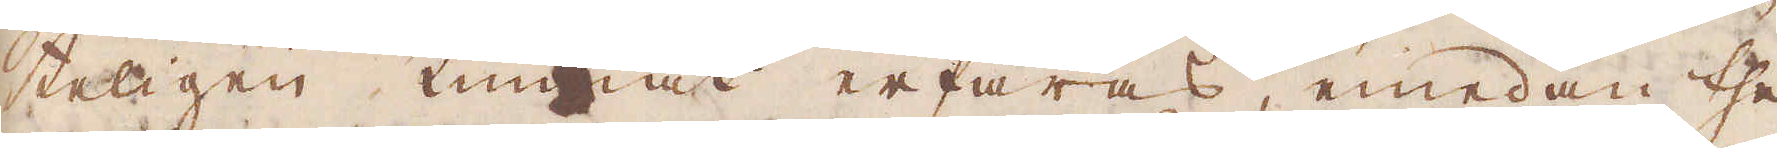teligen kunnat erfaras, emedan the
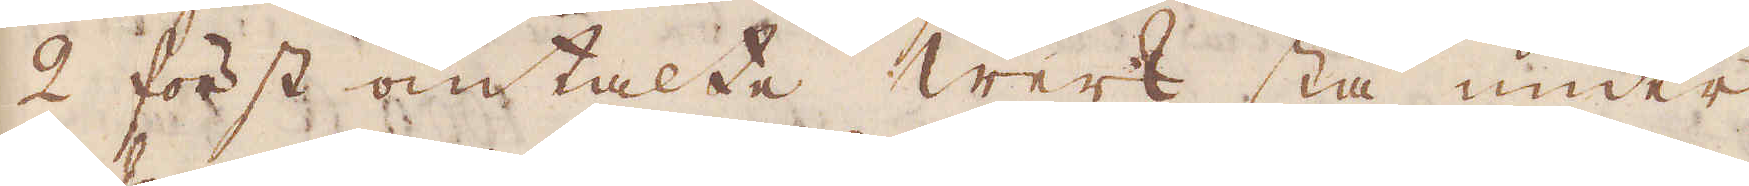2 först omtalte Werk stå under-
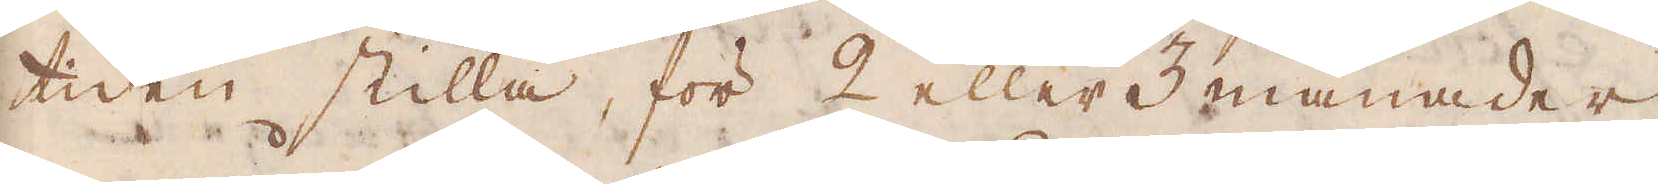tiden stilla, för 2 eller 3 månader
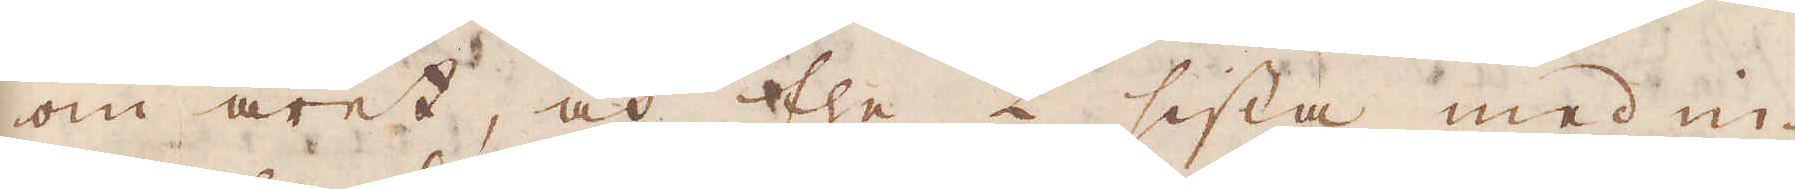om året, och the 2 sista med in-
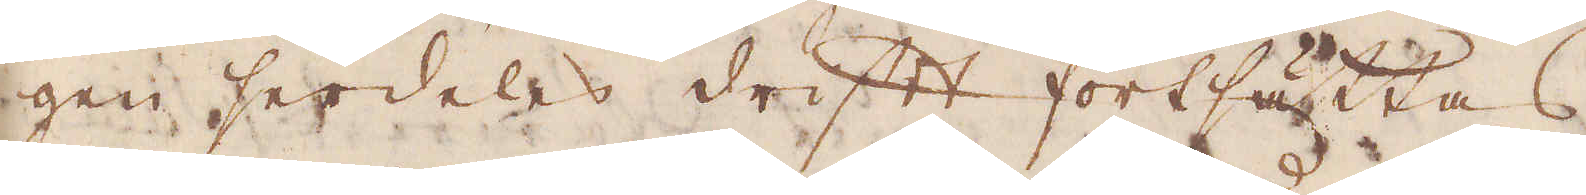gen serdeles drifft fortsättas.
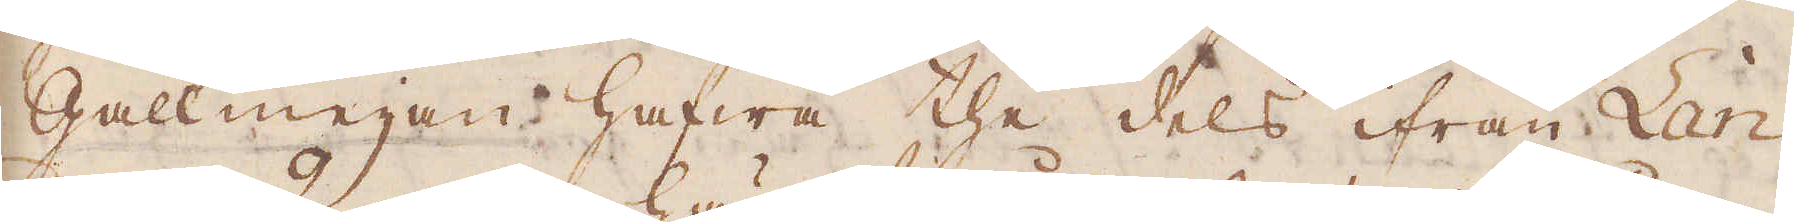Gallmeijan hafwa the dels ifrån Lan-
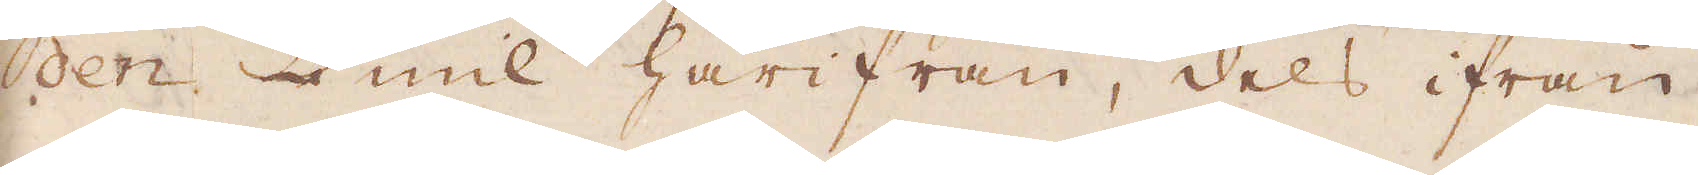den 2 mil härifrån, dels ifrån
